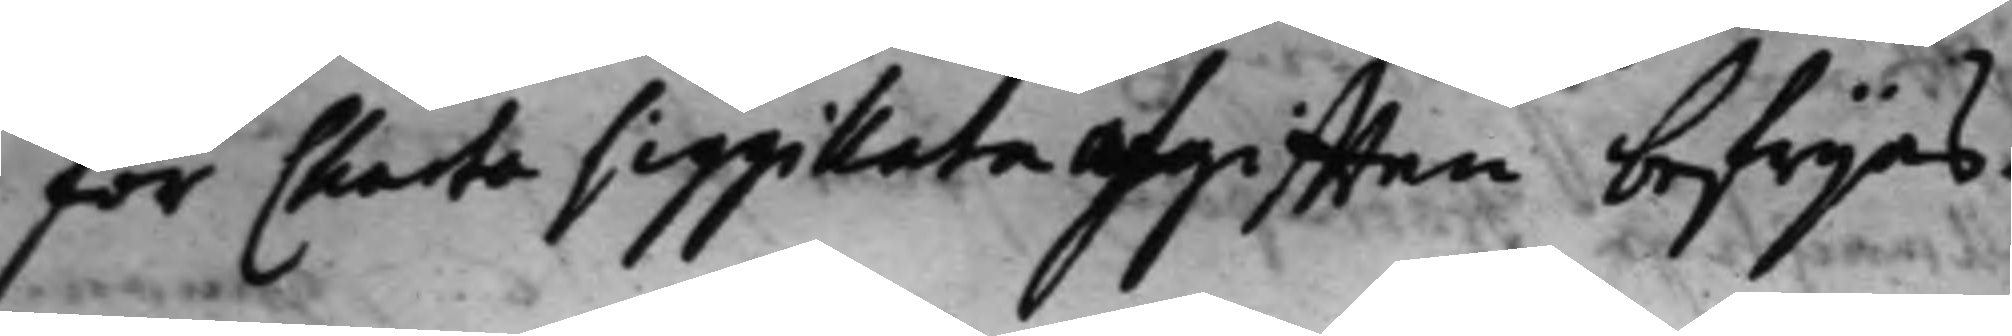för Charta siggillataafgifften befrijas.
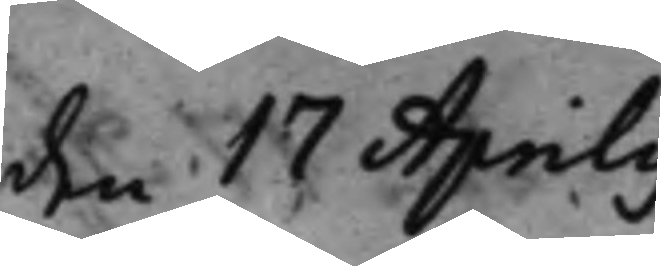den 17 Aprilis
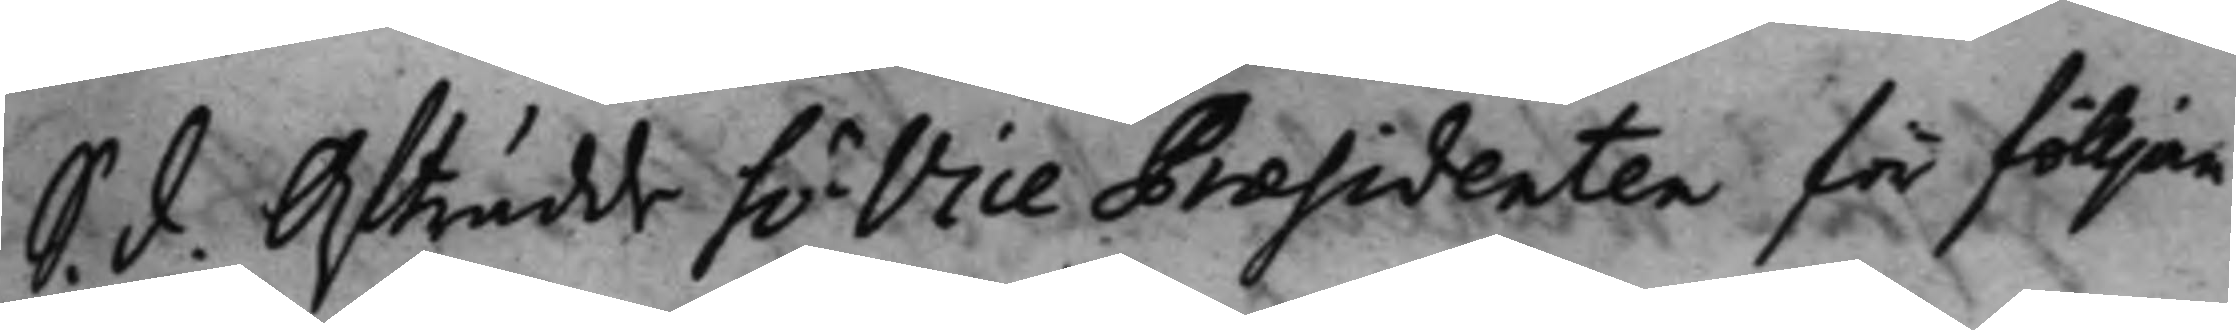S. d. Afträdde h.r Vice Præsidenten för fölljan¬ 
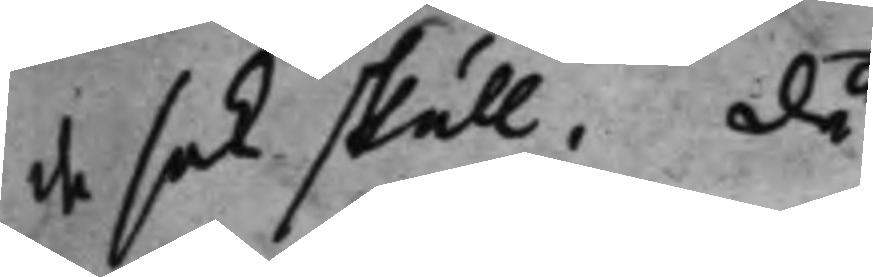de sak skull. då
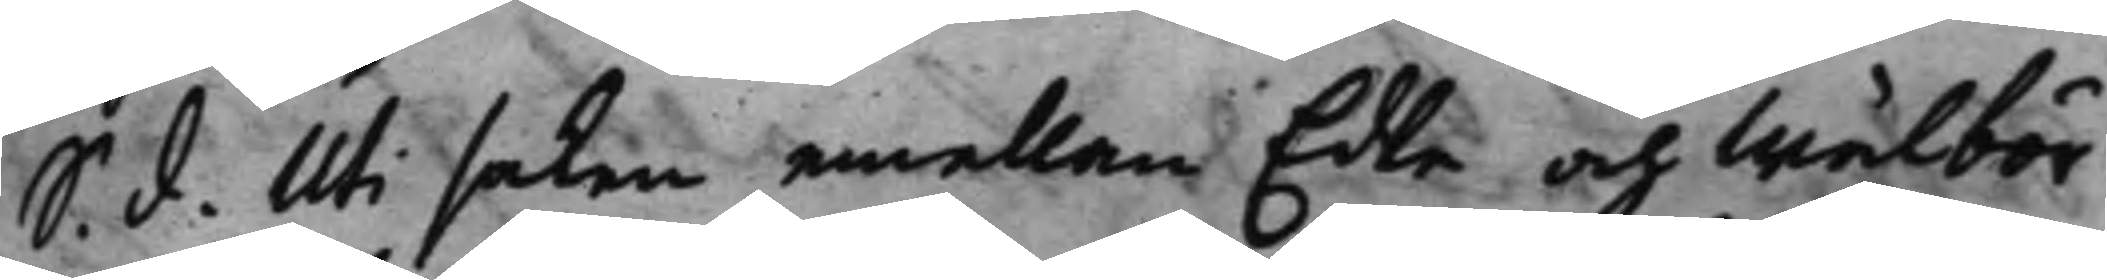S. d. Uti saken emellan Edle och Wälbör¬ 
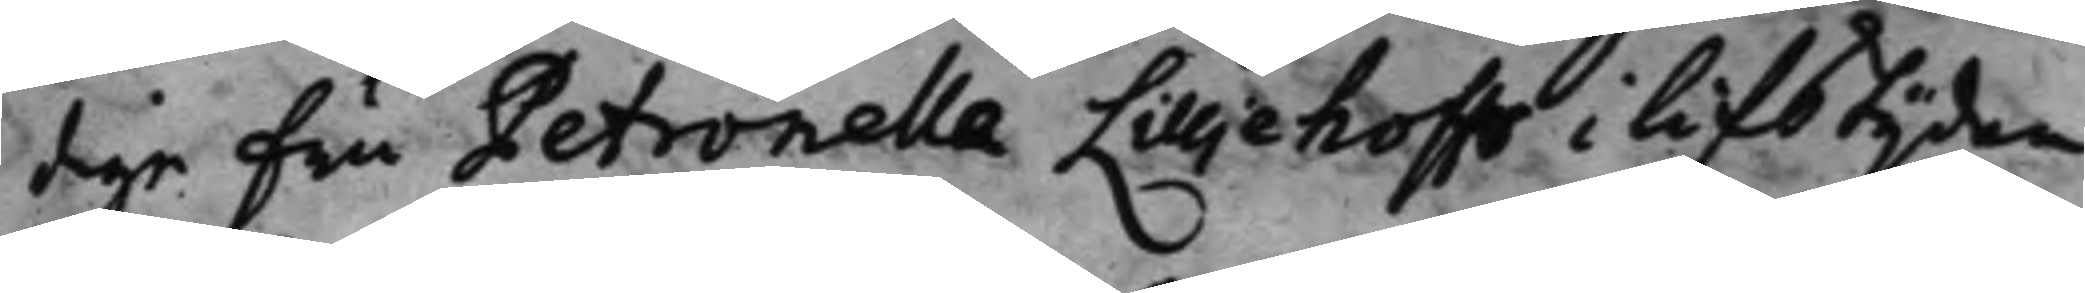dige Fru Petronella Lilljehoffs i lifstijden
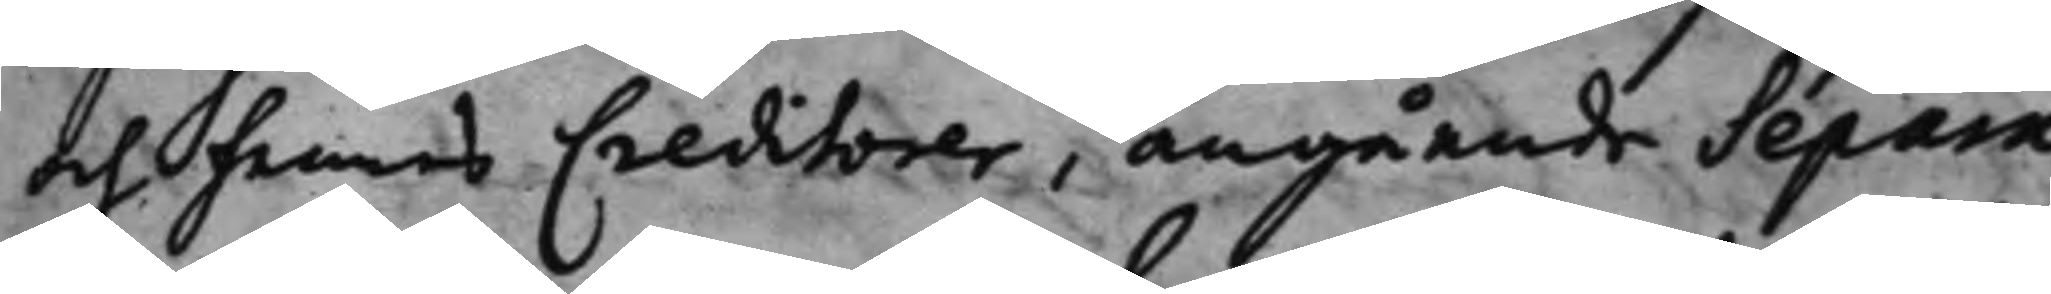och hennes Creditorer, angående Separa¬
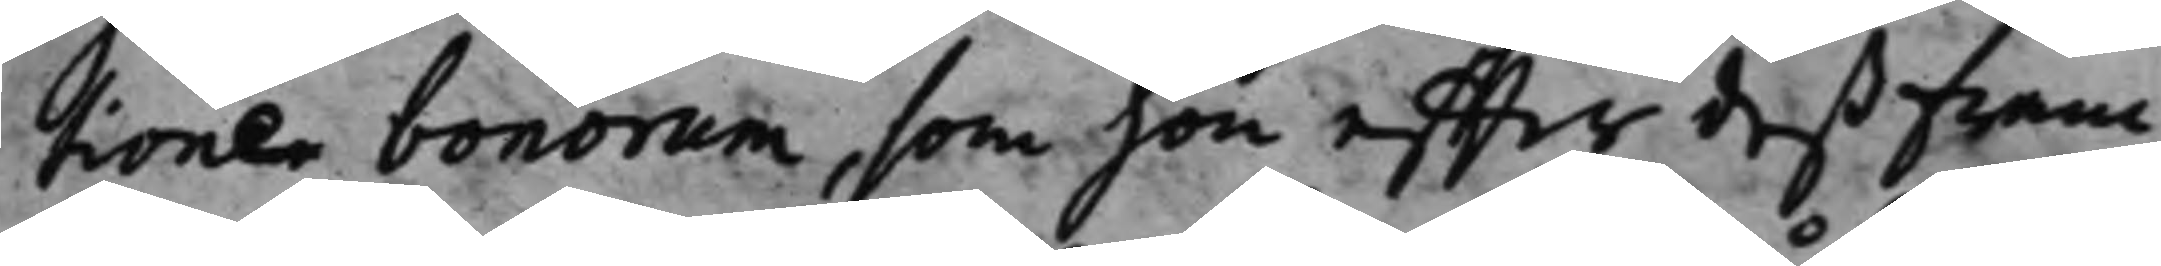tioner bonorum, som hon effter deß fram¬
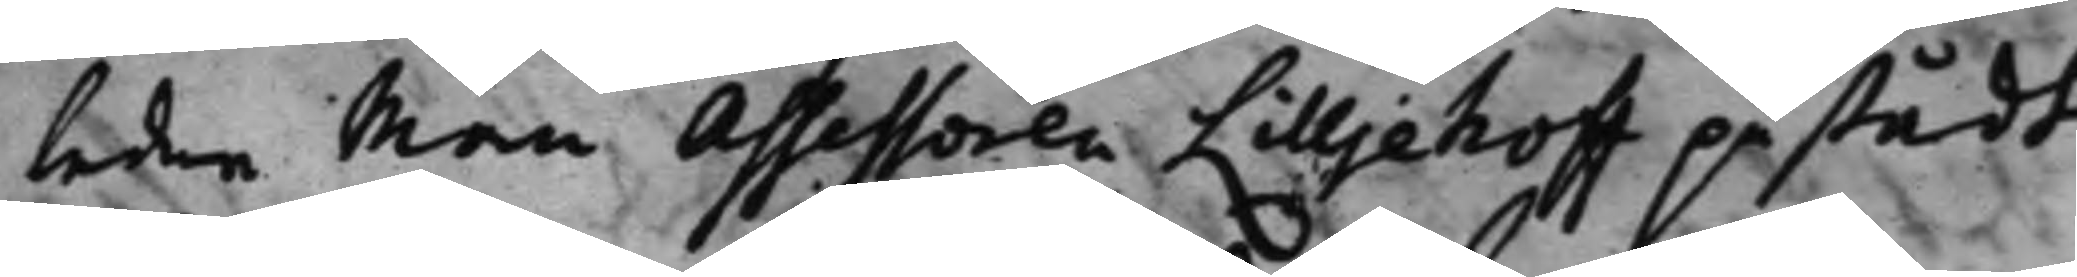ledne Man Assessoren Lilljehoff påstådt
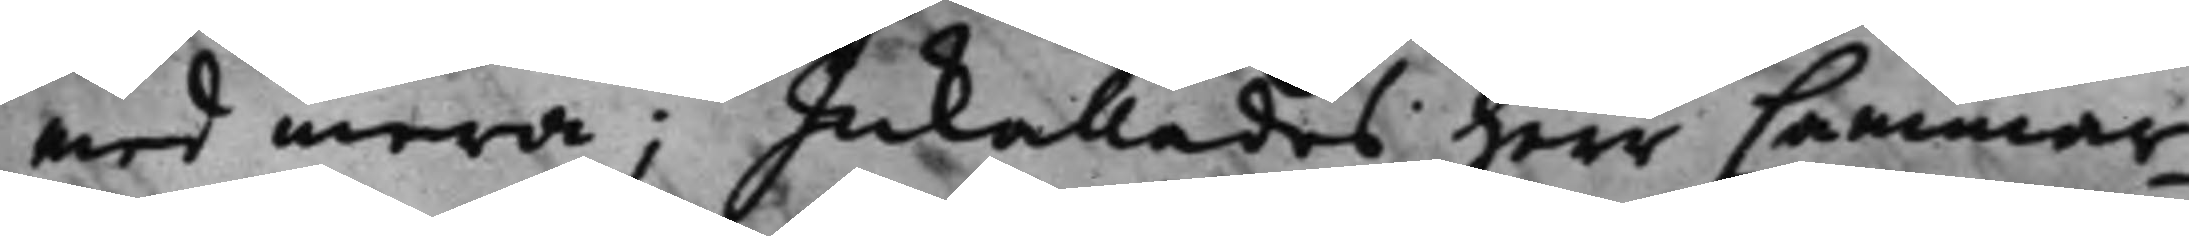med mera; Inkallades Herr Cammar¬
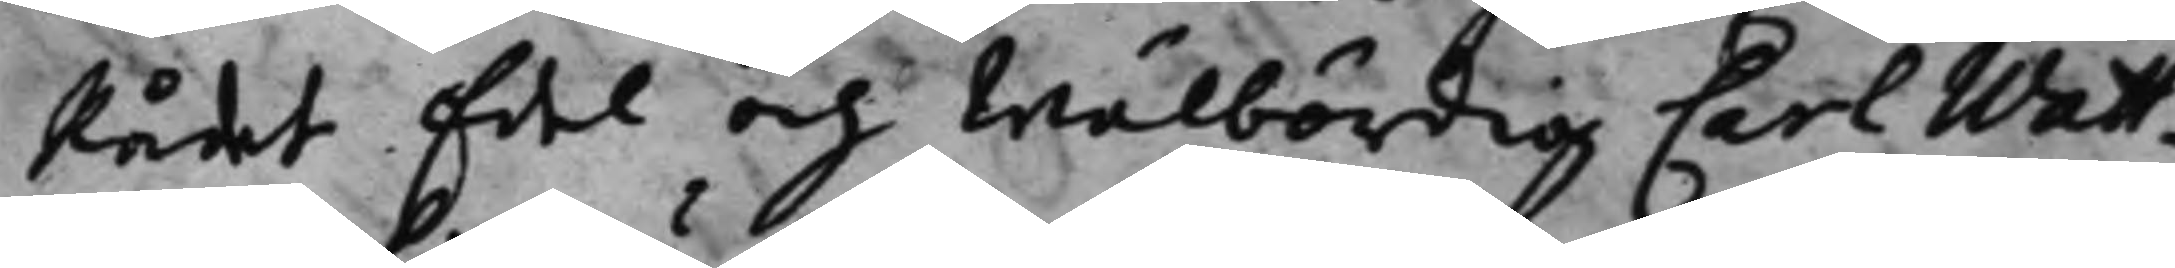Rådet Edel och Wälbördig Carl Watt¬
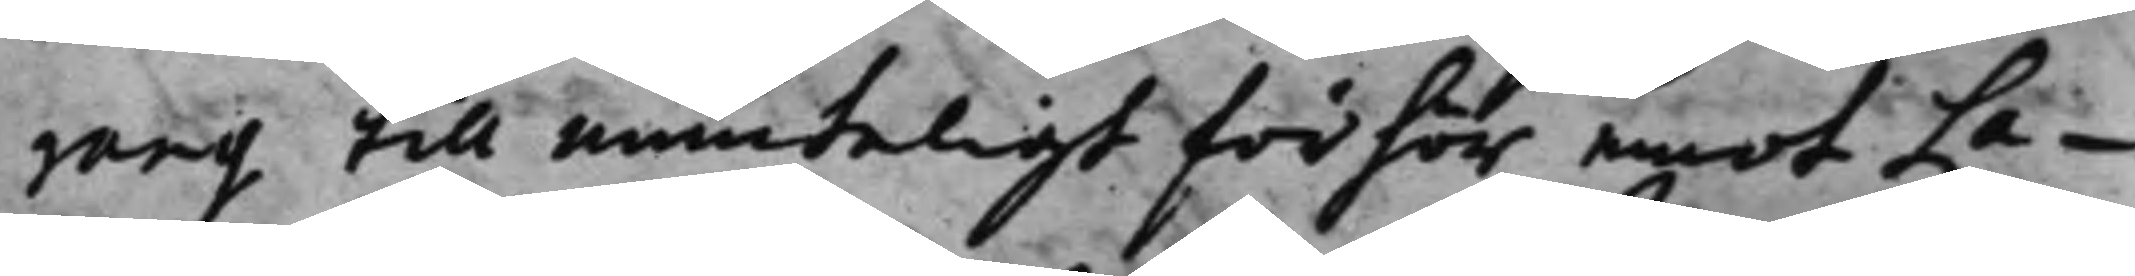rang till munteligt förhör emot La¬
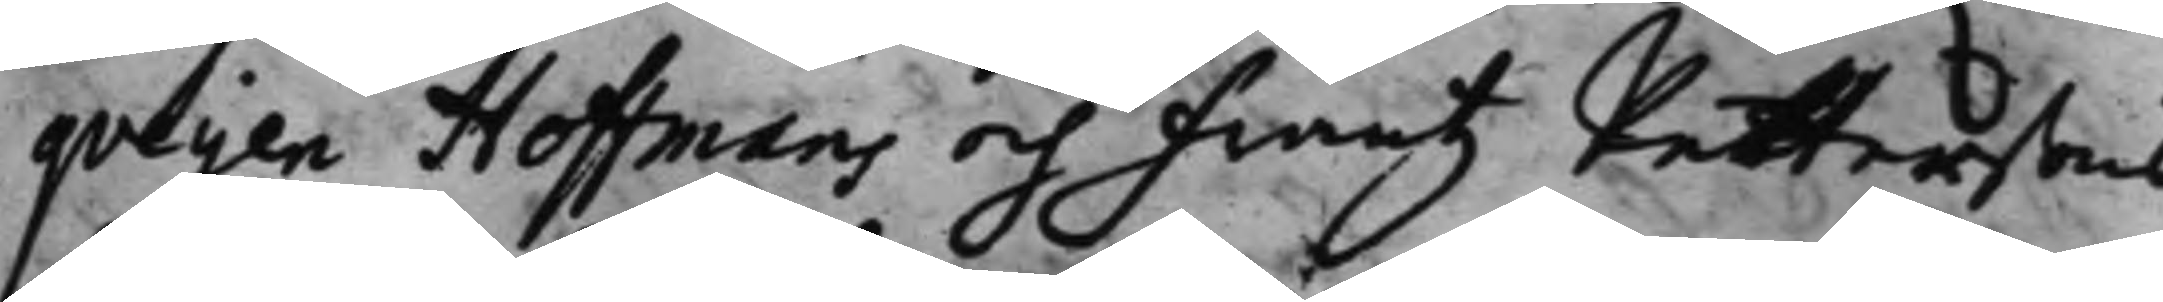queijen Hoffmans och Frantz Pettersons
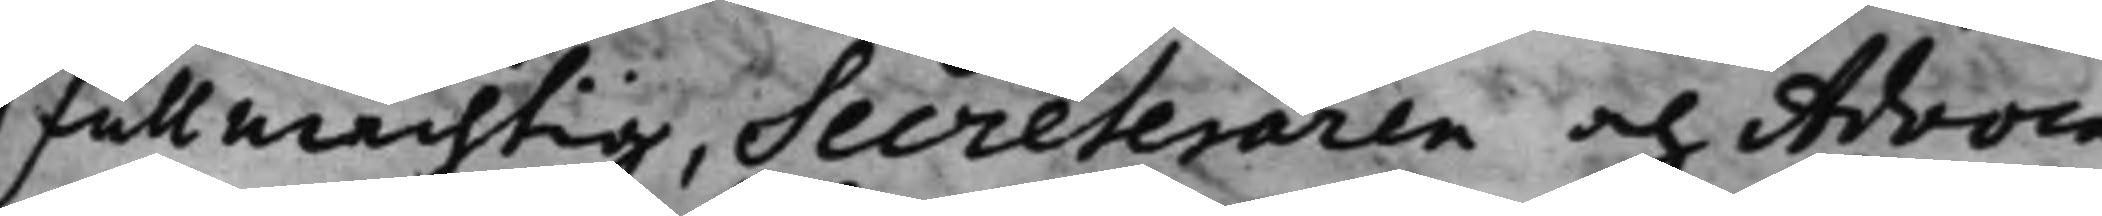Fullmächtig, Secreteraren och Advoca¬
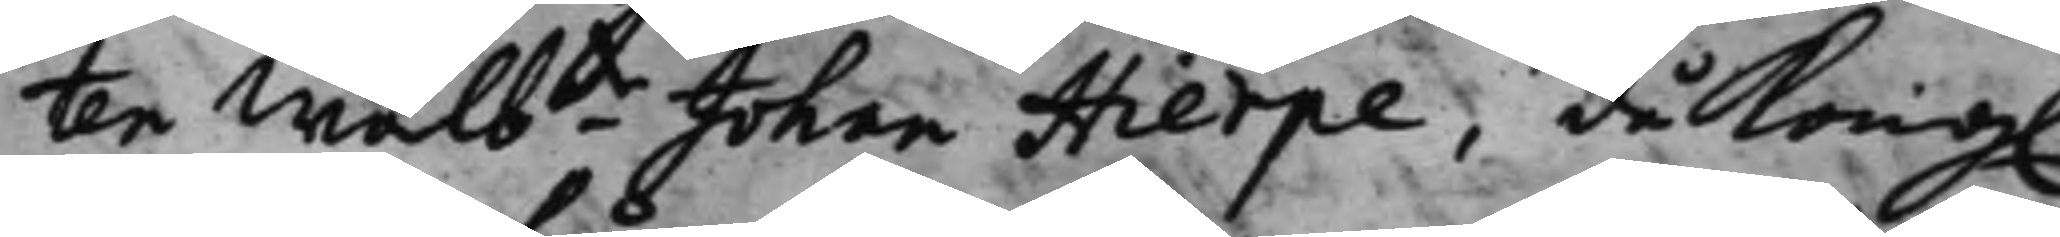ten Wälbde Johan Hierpe, då Kong. 
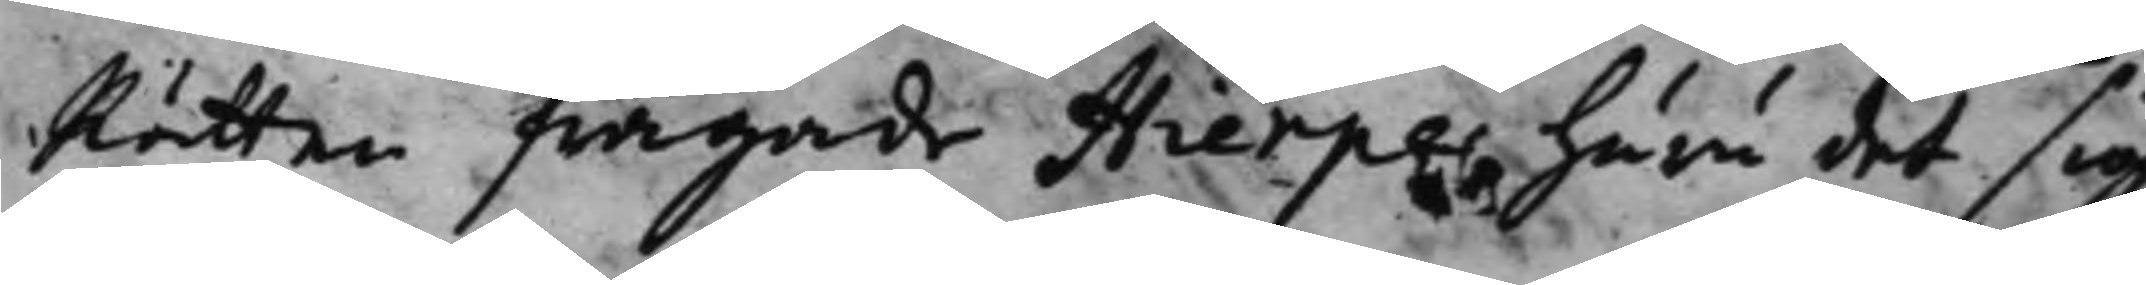Rätten frågade Hierpe, huru det sig
